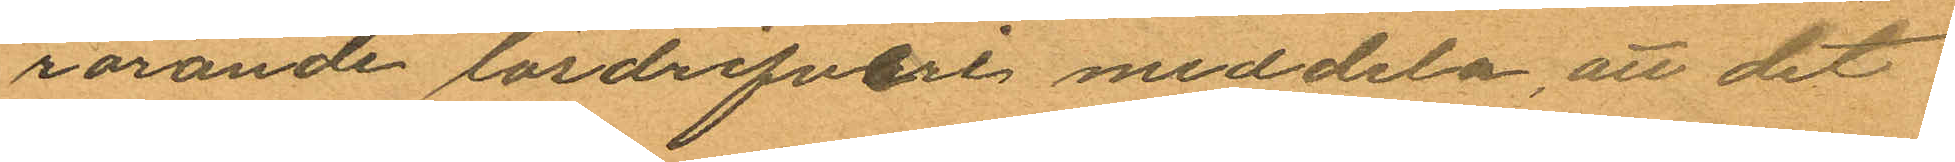rörande lösdrifveri meddela, att det
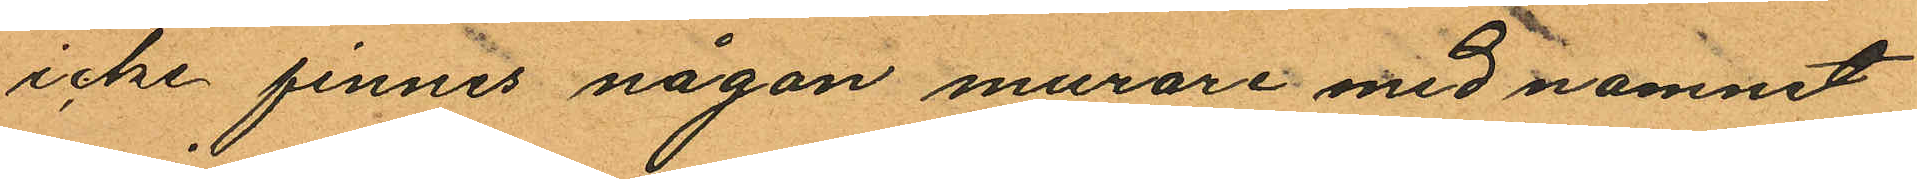icke finnes någon murare med namnet
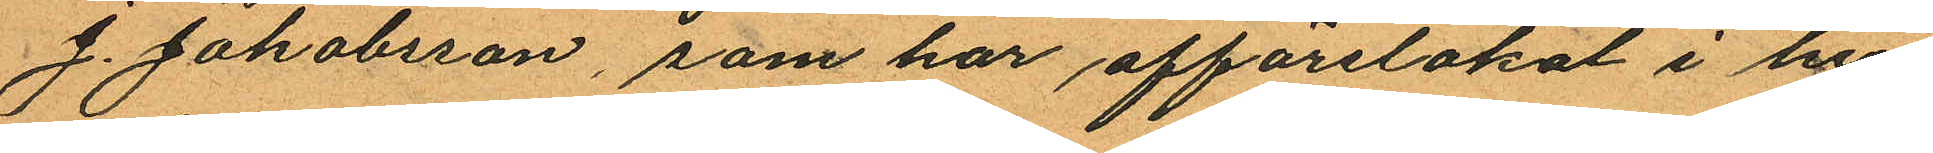J. Jakobsson, som har affärslokal i hu¬
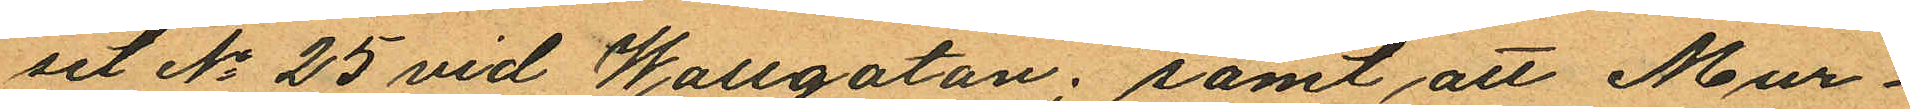set No 25 vid Wallgatan; samt att Mur¬
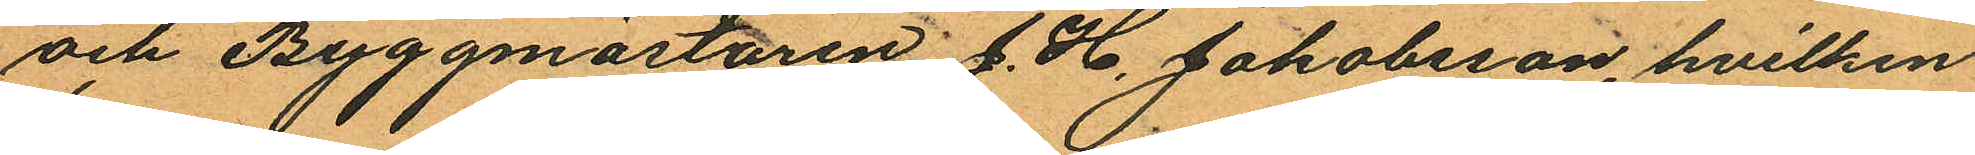och Byggmästaren J. H. Jakobsson, hvilken
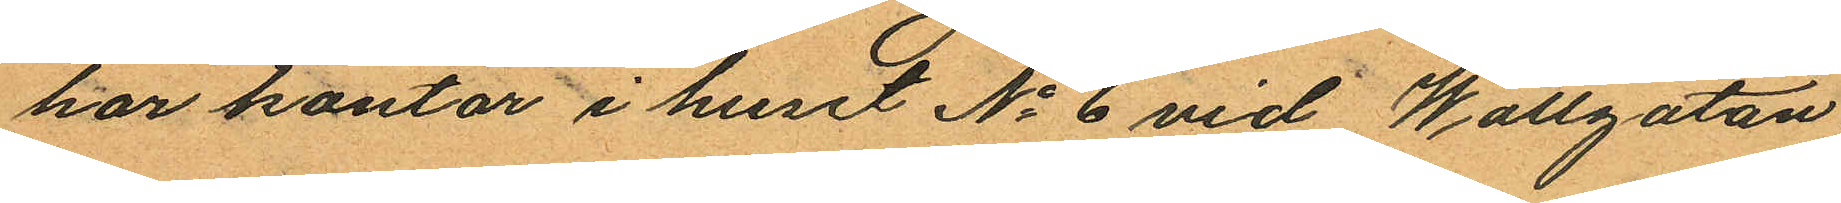har kontor i huset No 6 vid Wallgatan
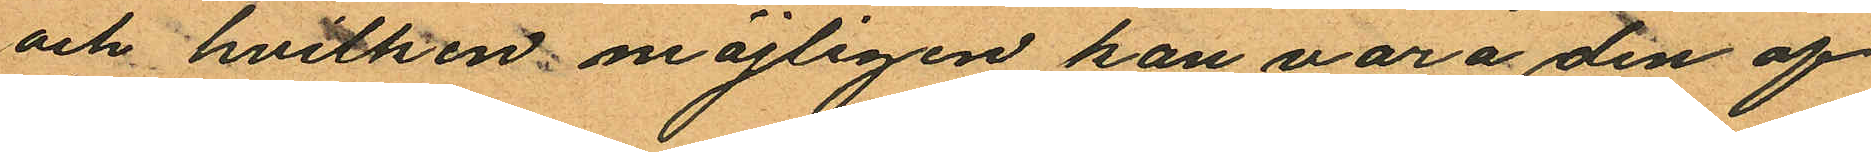och hvilken möjligen kan vara den af
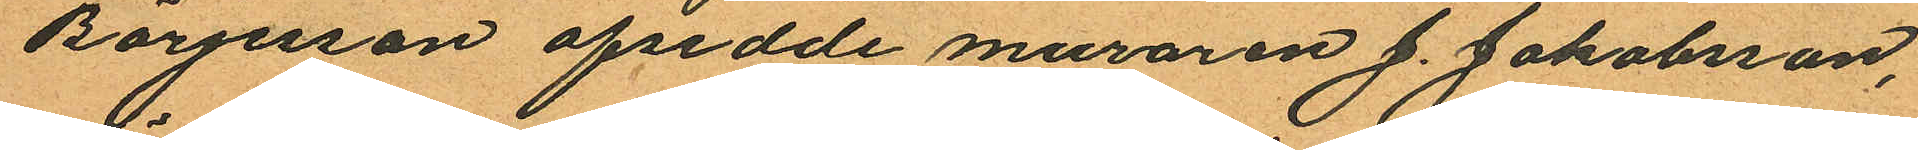Börjesson afsedde muraren J. Jakobsson,
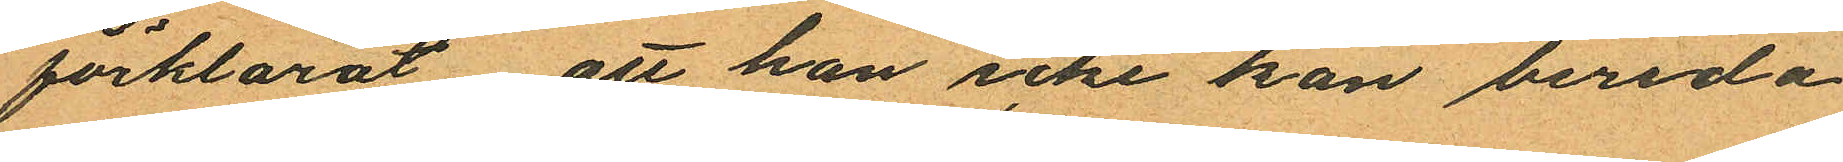förklarat att han icke kan bereda
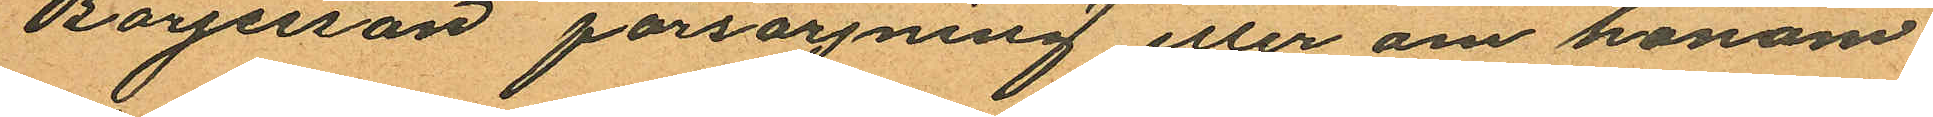Börjesson försörjning eller om honom
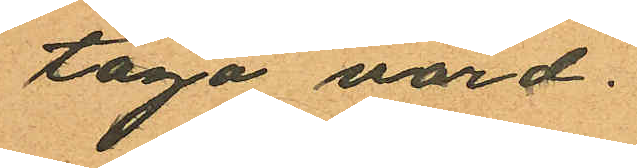taga vård.
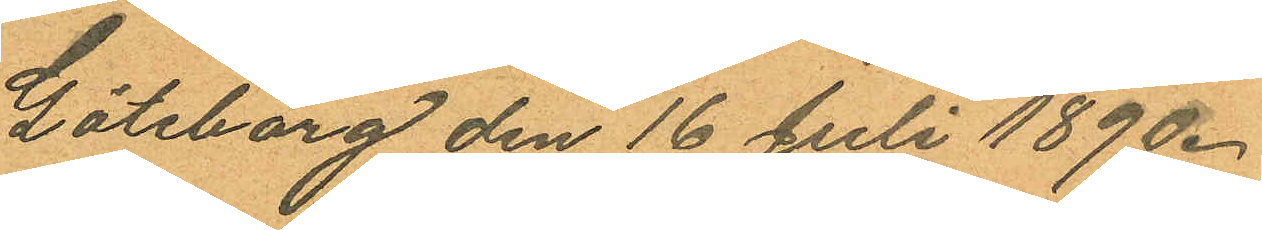Göteborg den 16 Juli 1890.
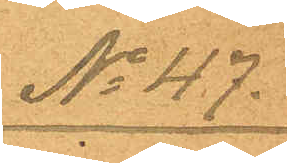No 47.
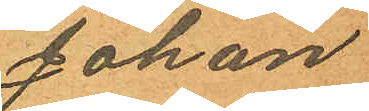Johan
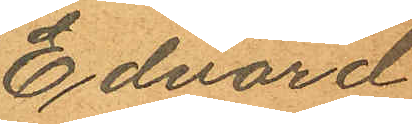Edvard
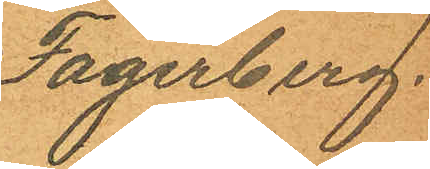Fagerberg.
